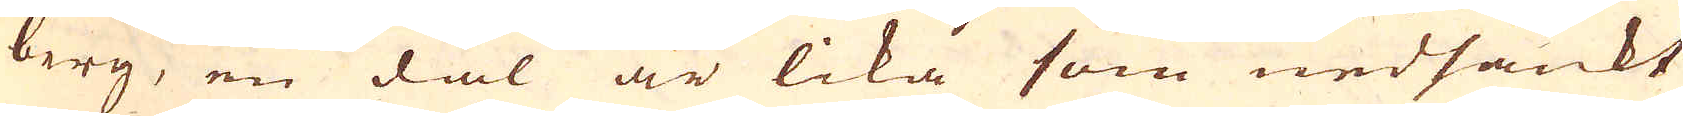berg, en dal är lika som nedsänkt
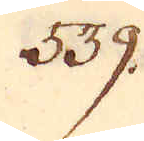539.
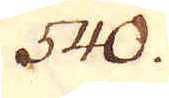540.
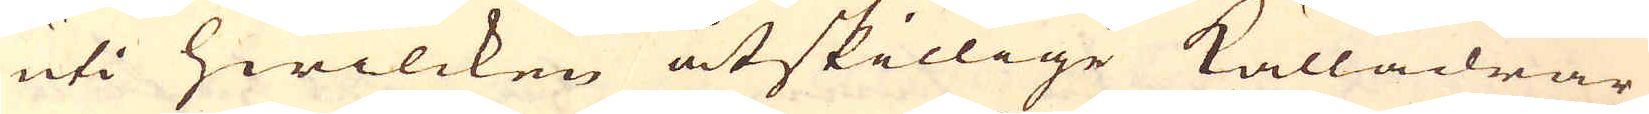uti hwilcken åtskillige Källådrar
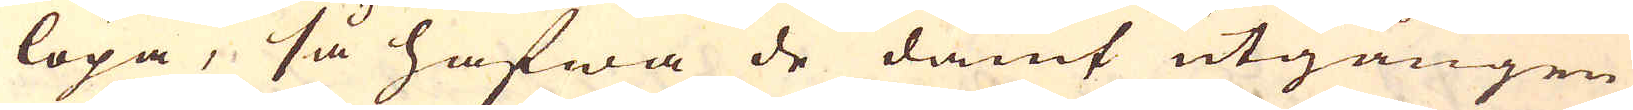löpa, så hafwa de dämt utgången
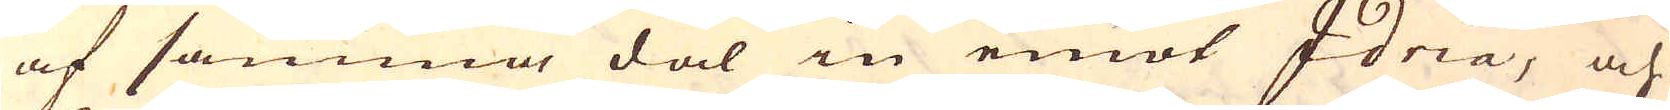af samma dal in emot Idria, och
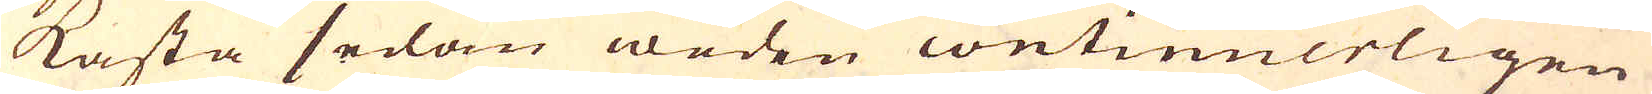kasta sedan weden continuerligen
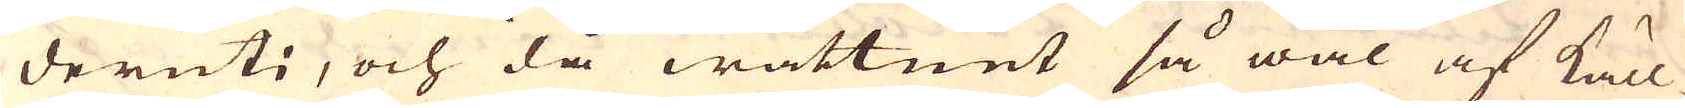deruti, och då wattnet så wäl af käll-
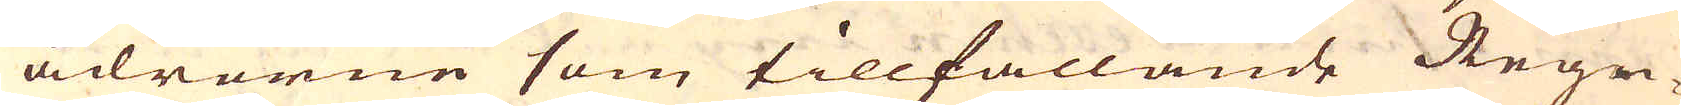ådrorne som tillfallande Regn-
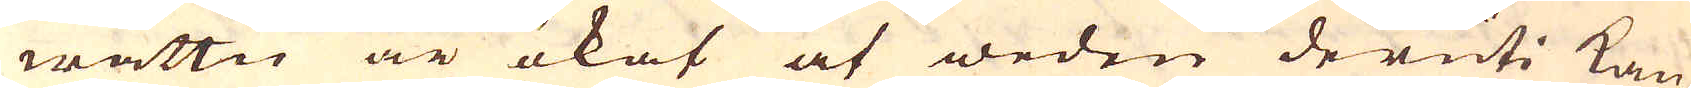wattn är ökat at weden deruti kan
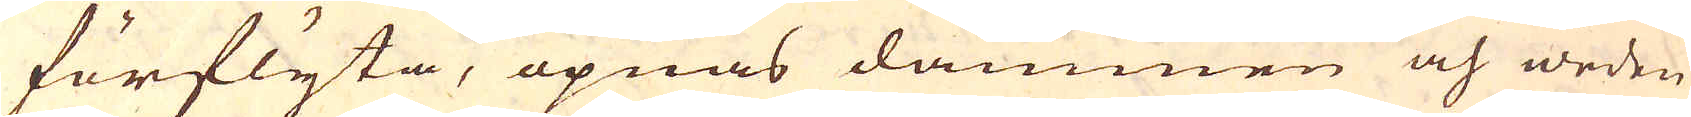förflyta, öpnas dammen och weden
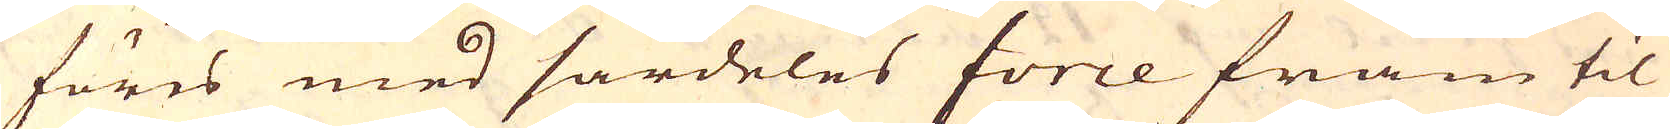föres med särdeles force fram til
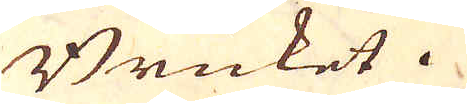Bruket.
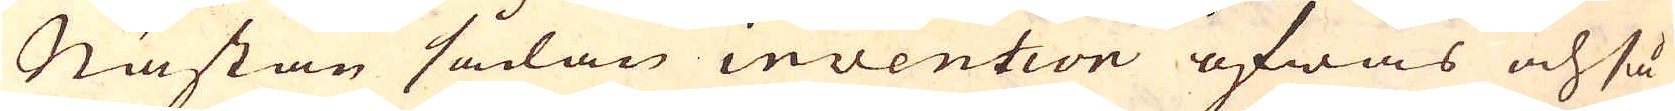Nästan sådan invention öfwas och så
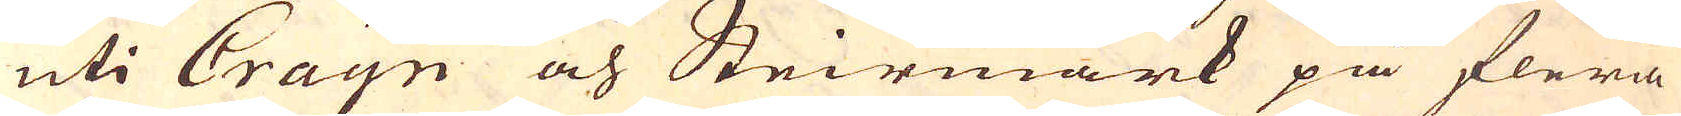uti Crayn och Steirmark på flera
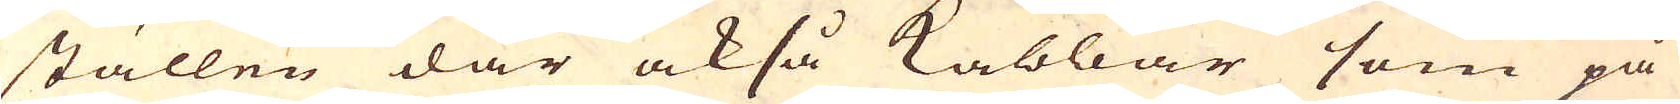ställen där också Kabbar som på
